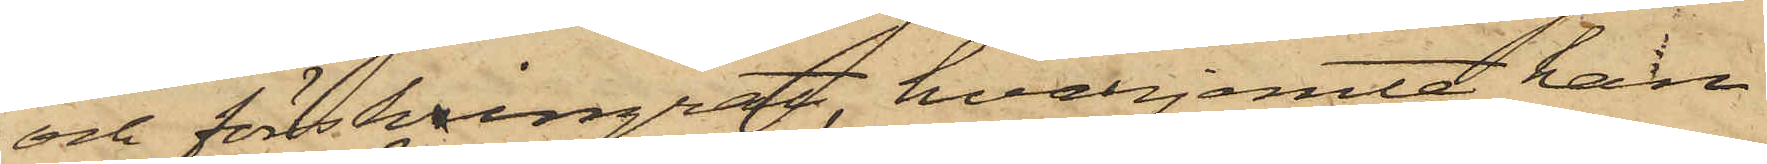och förskingrat, hvarjemte han
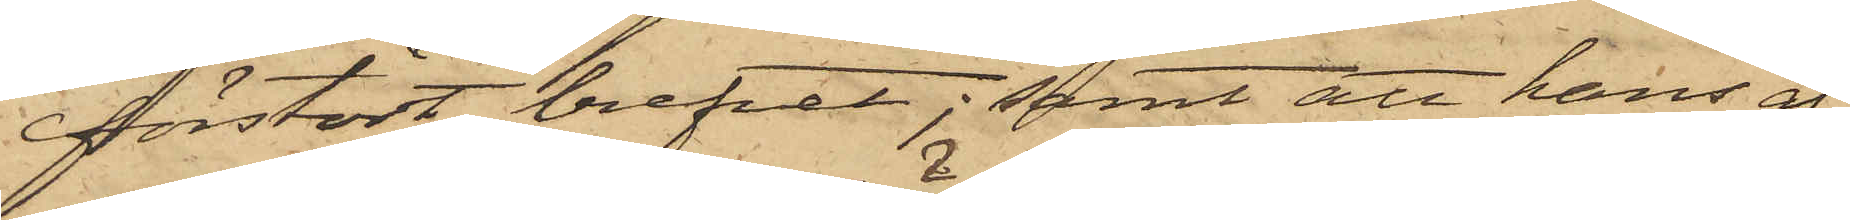förstört brefvet; samt att hans af¬
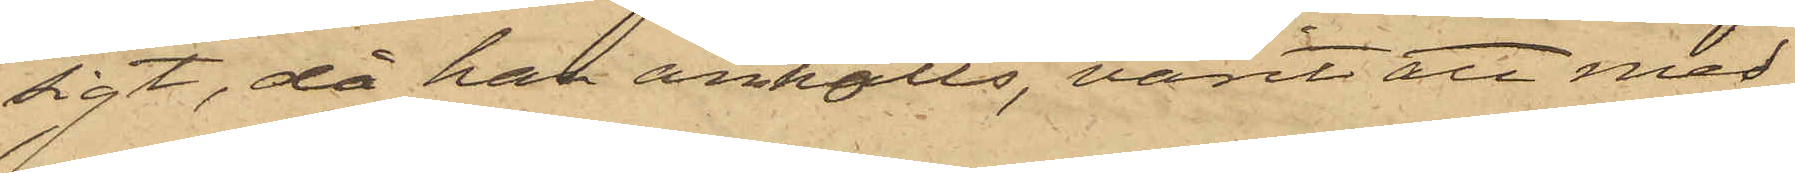sigt, då han anhölls, varit att med
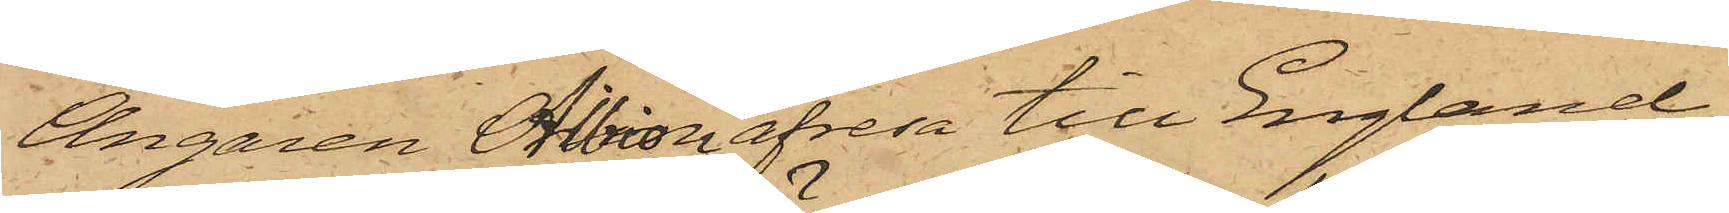Ångaren Albion afresa till England;
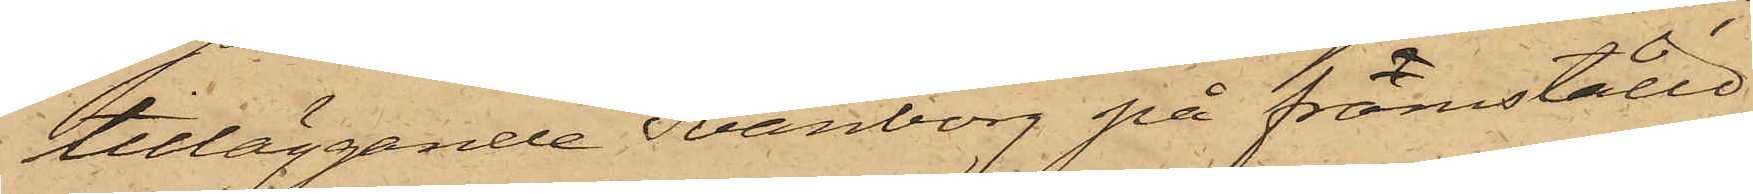tilläggande Svänborg på framställd
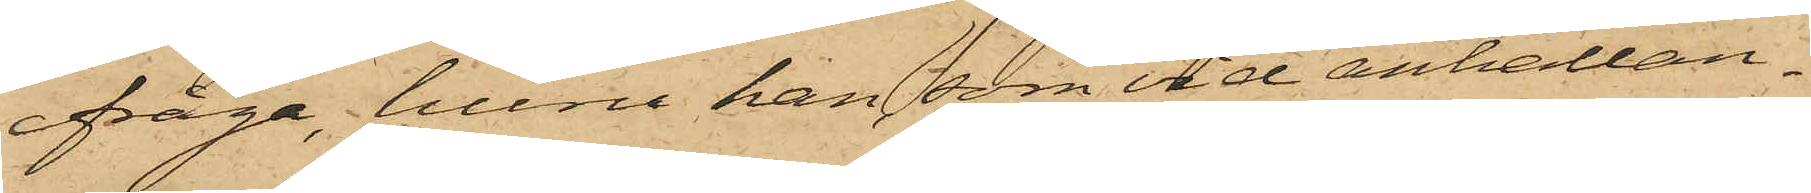ifråga, huru han, som vid anhållan¬
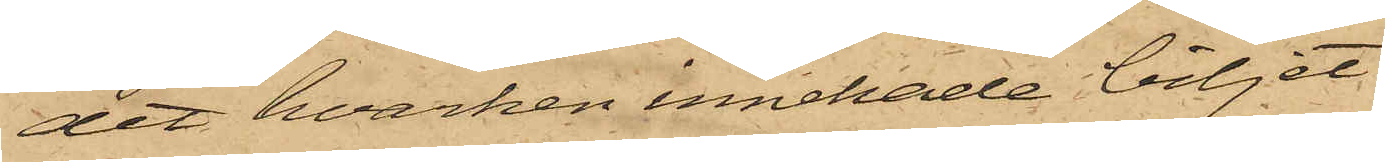det hvarken innehade biljet
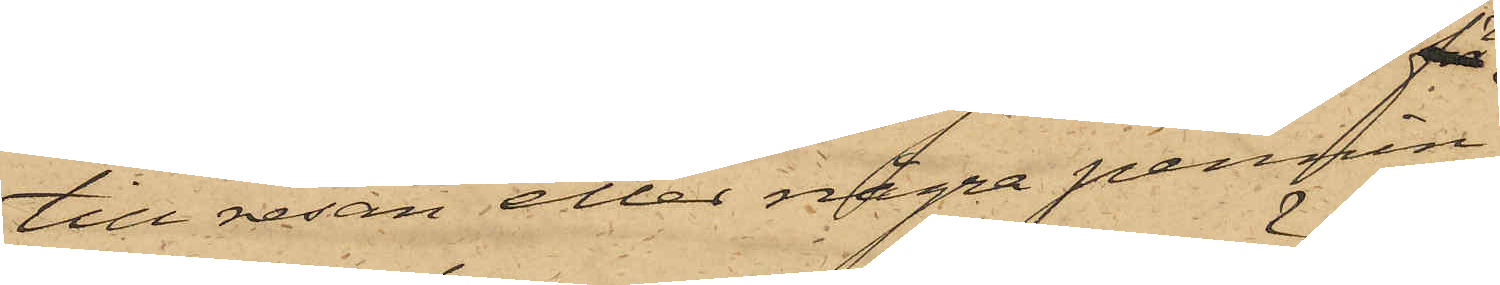till resan eller några pennin¬
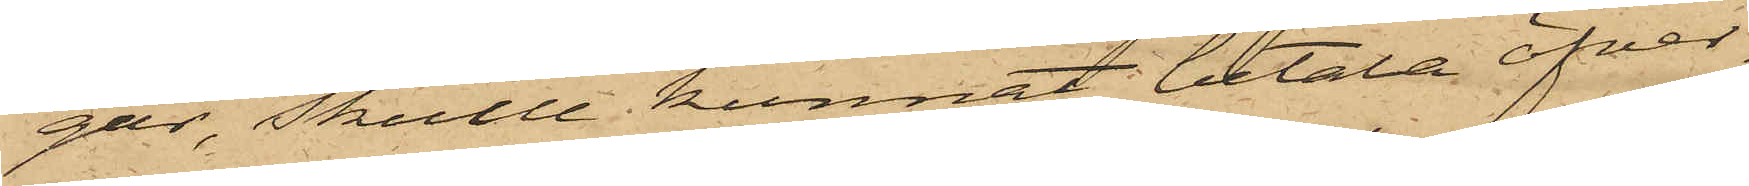gar, skulle kunnat betala öfver¬
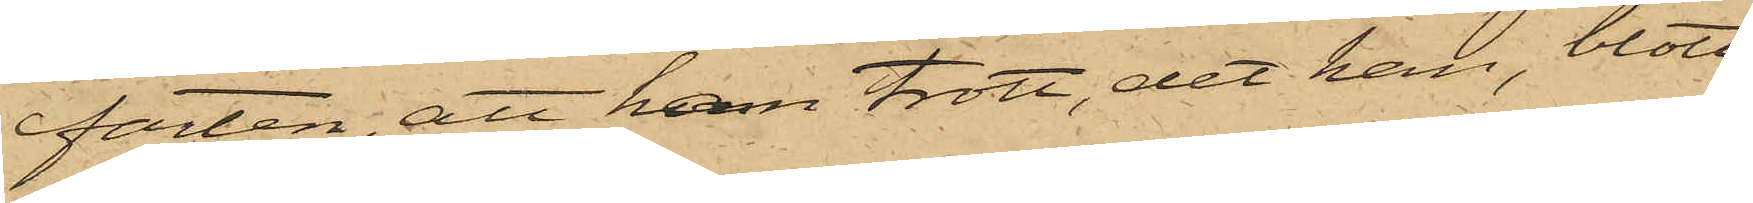farten, att han trott, det han, blott
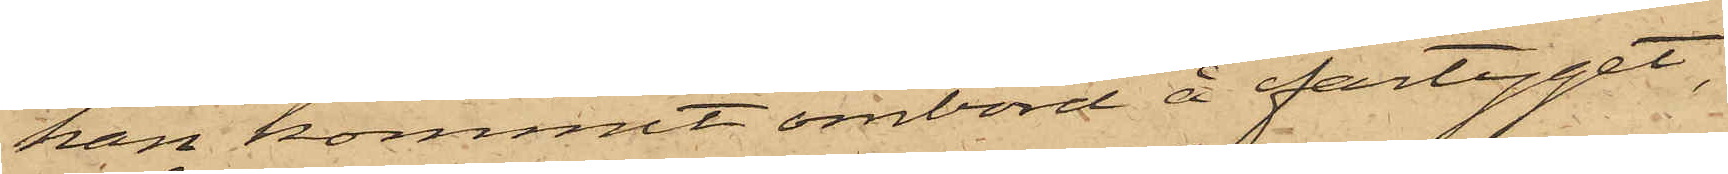han kommit ombord å fartyget,
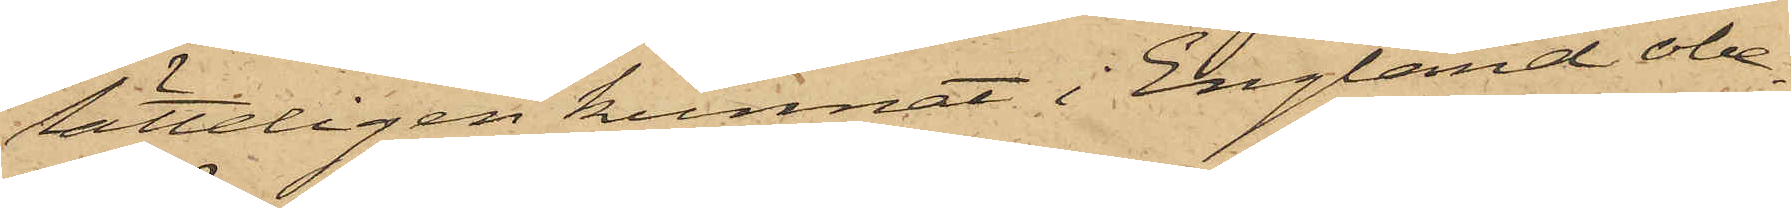lätteligen kunnat i England obe¬
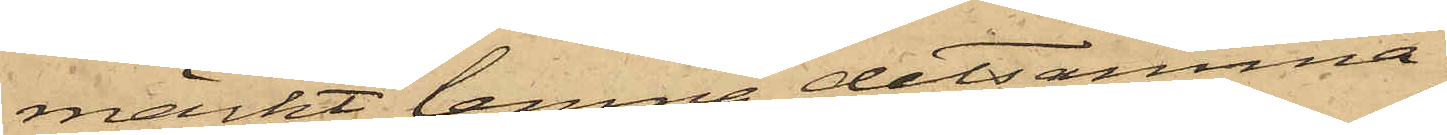märkt lemna detsamma.
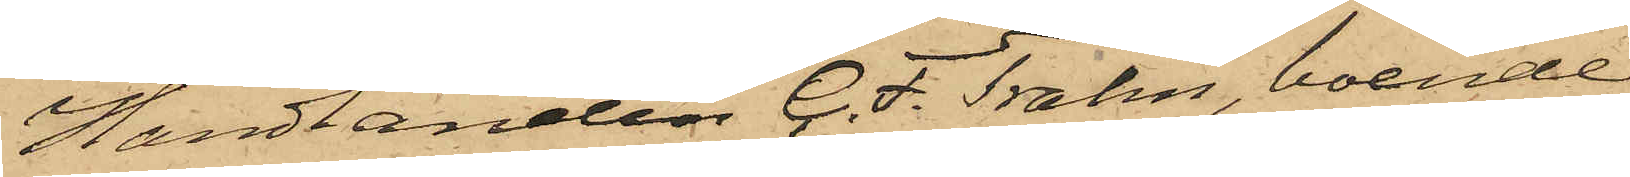Handlanden C. F. Trahn, boende
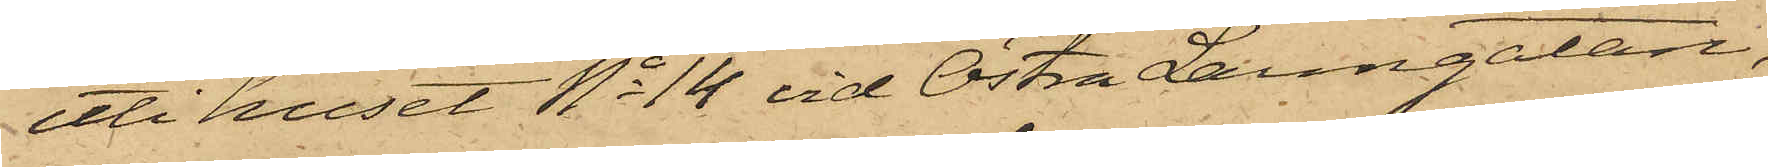uti huset No 14 vid Östra Larmgatan,
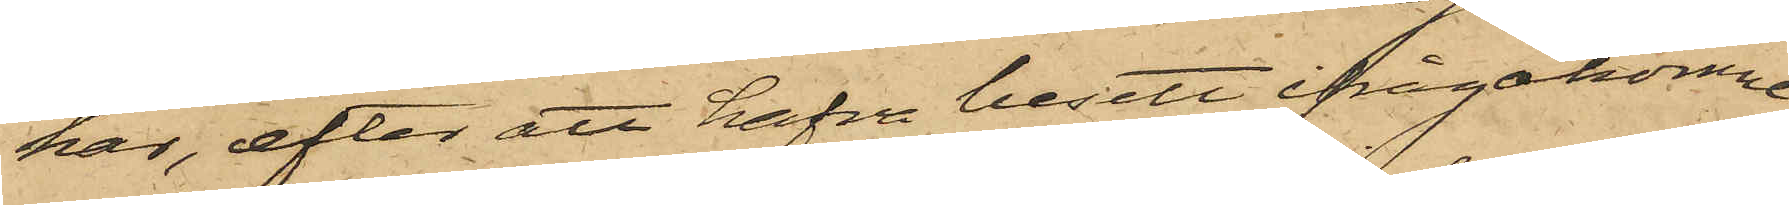har, efter att hafva besett ifrågakomne
